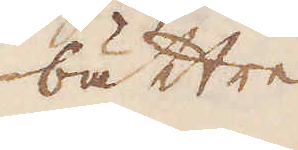bättre
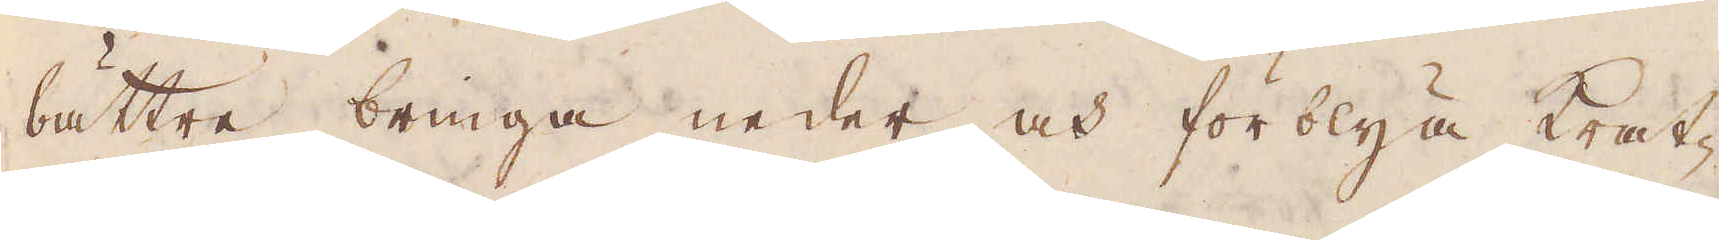bättre bringa neder och förblya krat-
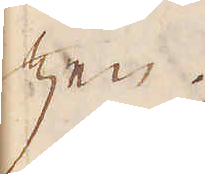zen.
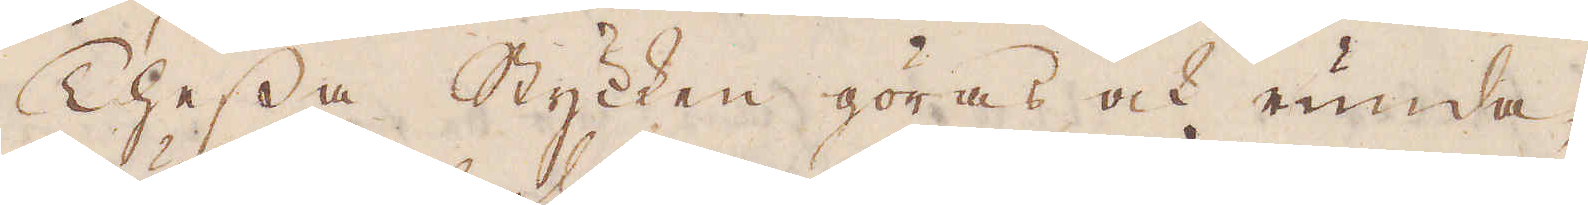Thessa Stycken göras och runda,
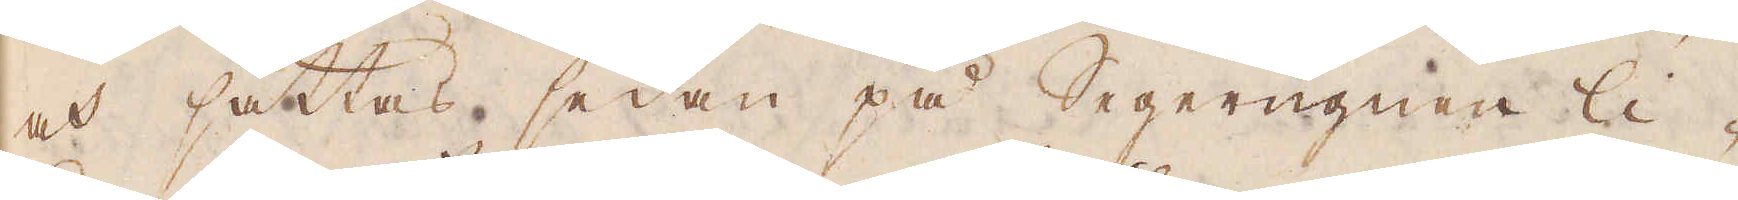och sättas sedan på Segerugnen li-
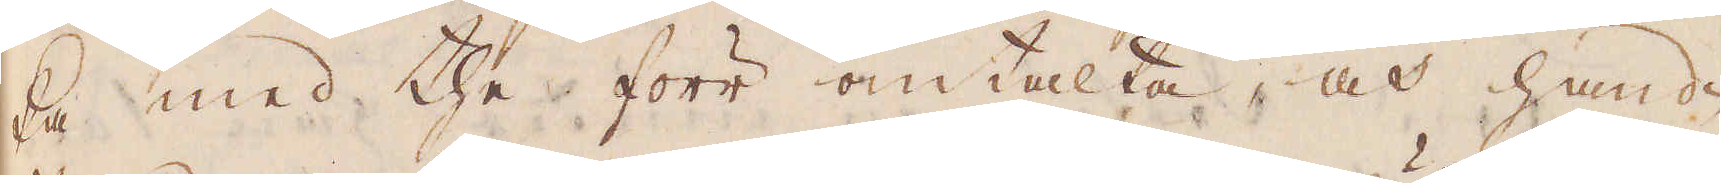ka med the förr omtalta, och hand-
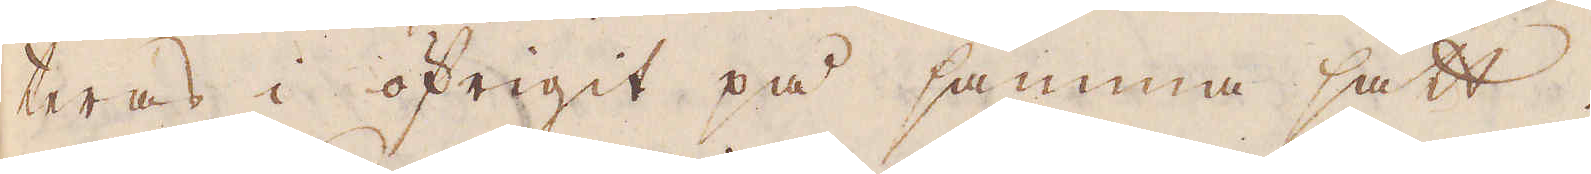teras i öfrigit på samma sätt.
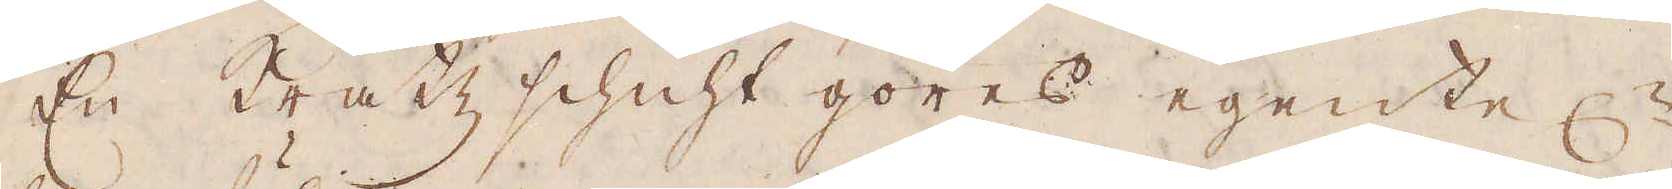En Kratz schicht göres egentel:n
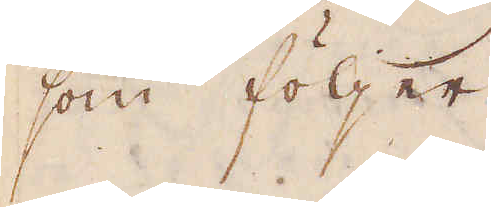som följer
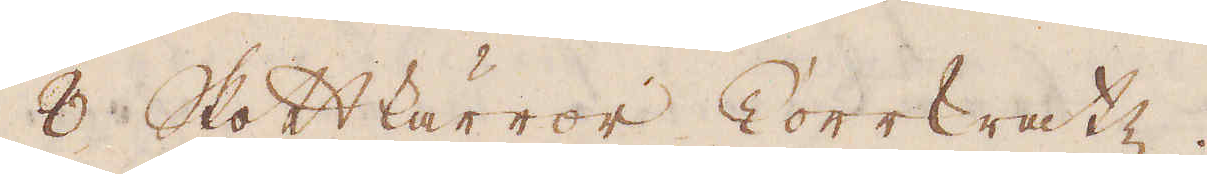8 Skottkärror Korrkratz.
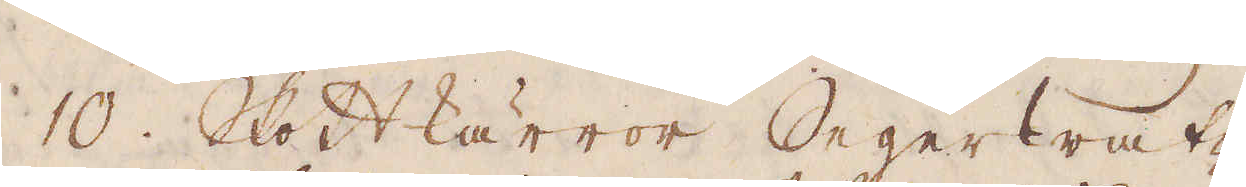10. Skottkärror Segerkratz.
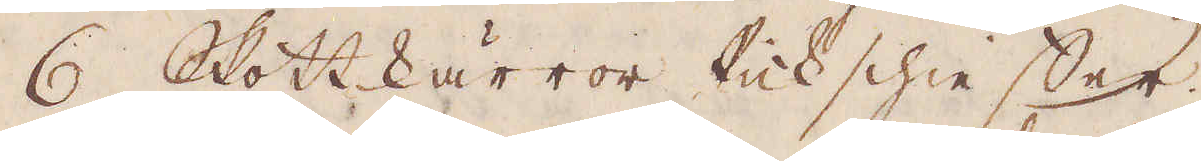6 Skottkärror Pickschie Ser.
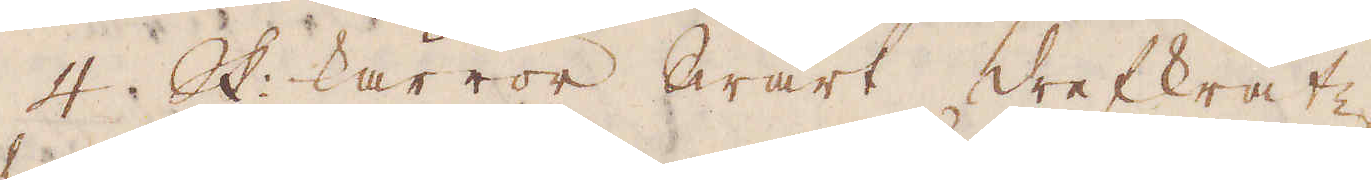4. Sk: kärror Swart drefkratz
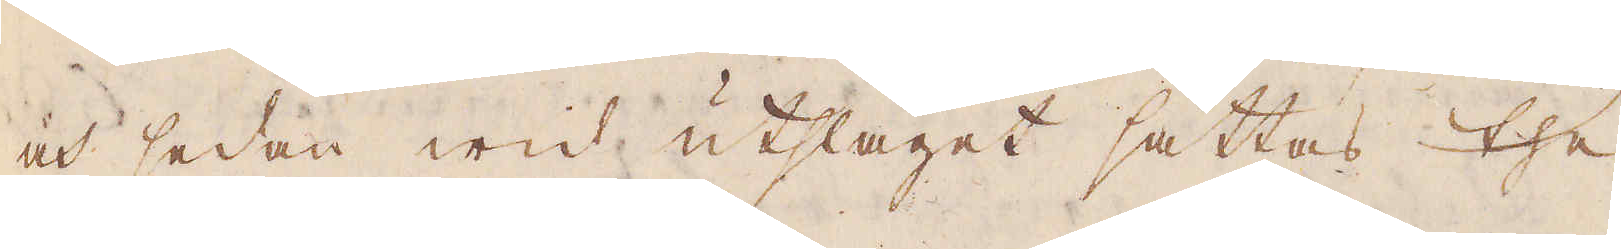och sedan wid utslaget sättas the
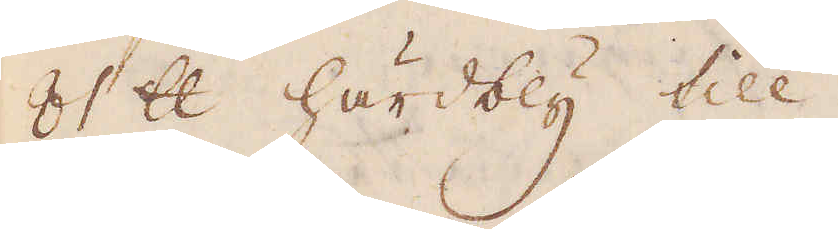81 skålpund härdbly till
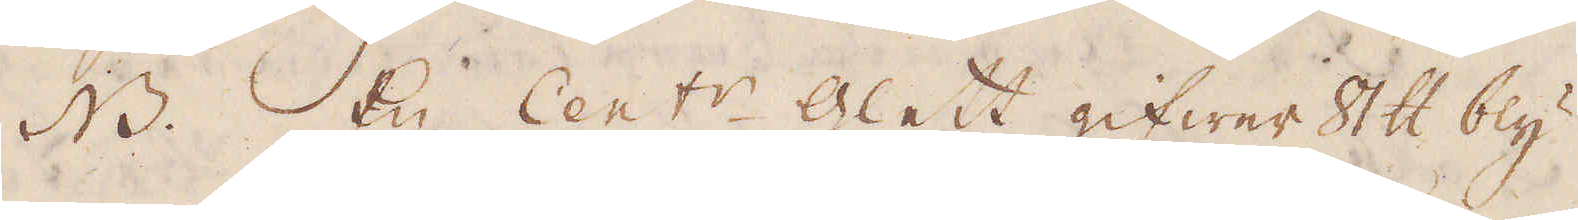NB. En Cent:r glett gifwer 8 skålpund bly.
